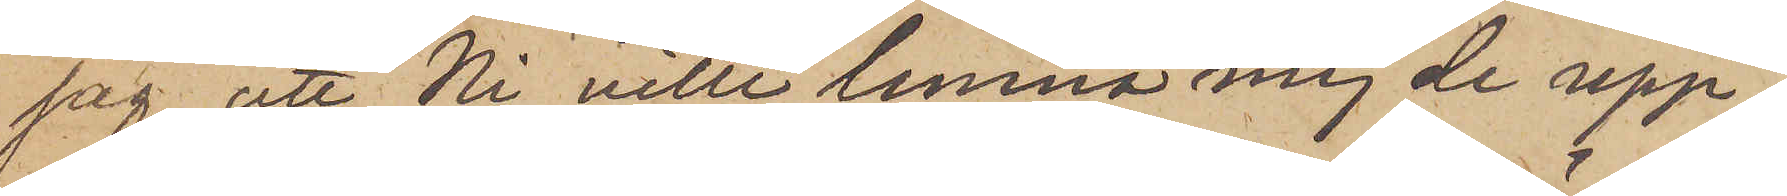jag, att Ni ville lemna mej de upp¬
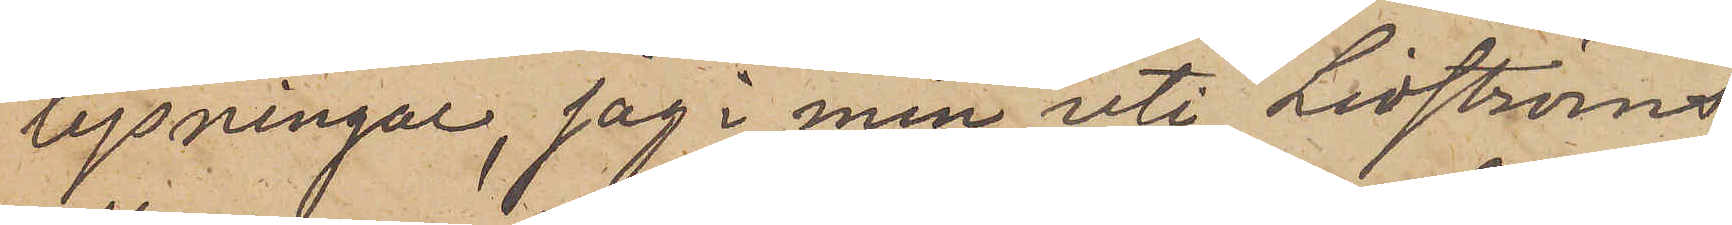lysningar, jag i min uti Lidströms
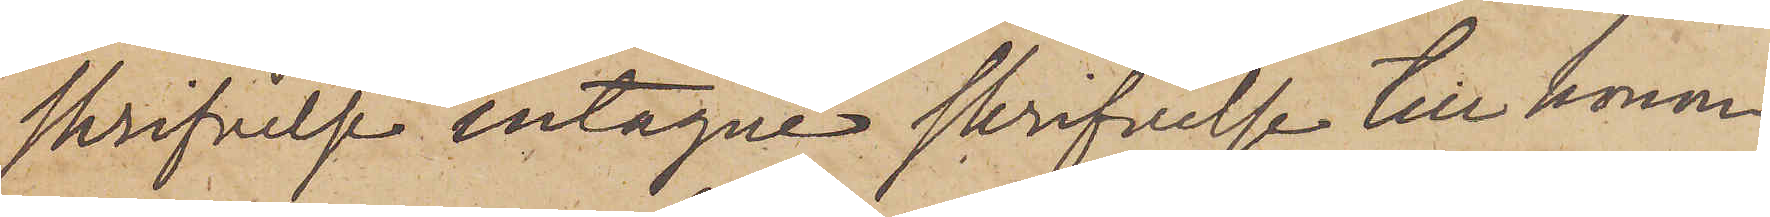skrifvelse intagne skrifvelse till honom
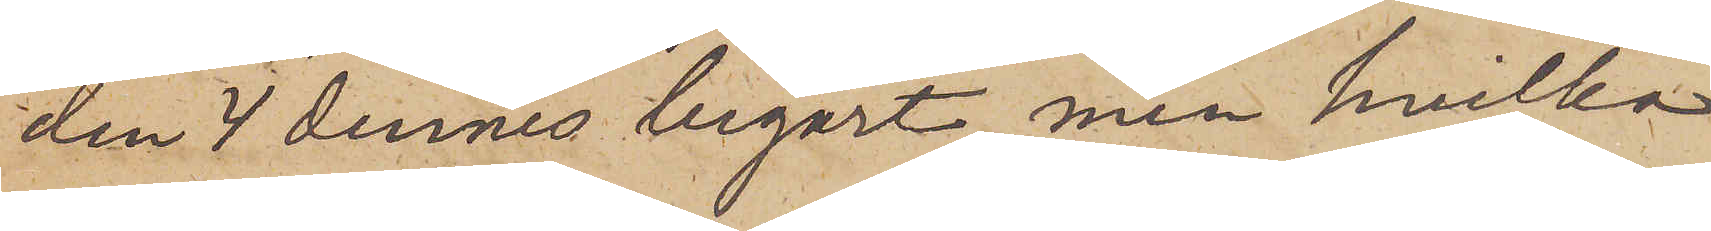den 4 dennes begärt, men hvilka
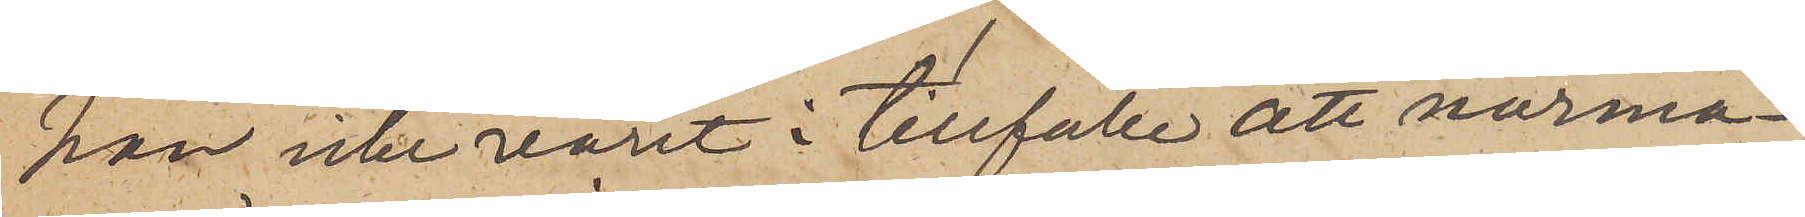han icke varit i tillfälle att närma¬
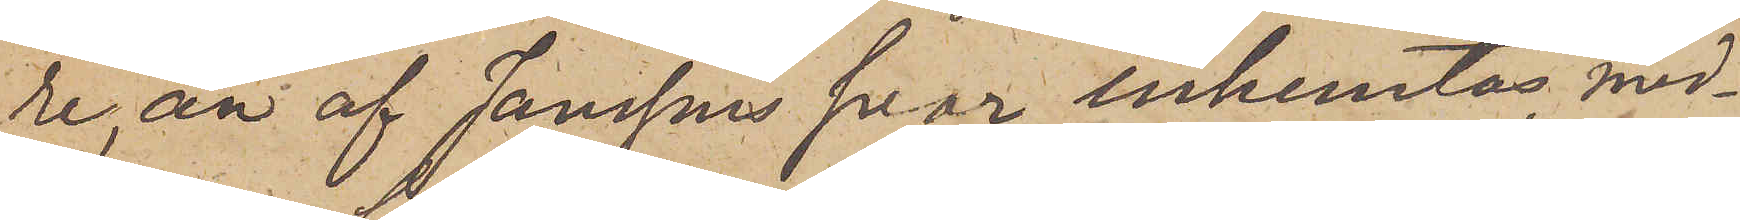re, än af Janssons svar inhemtas, med¬
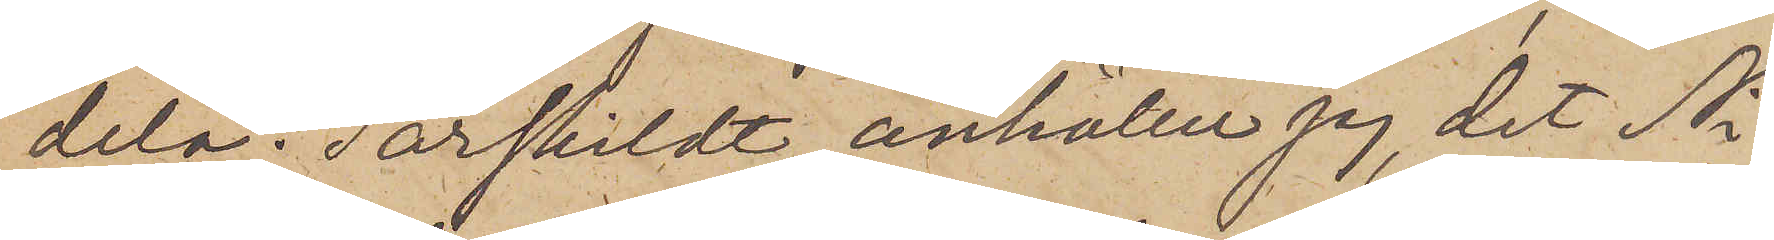dela. Särskildt anhåller jag, det Ni
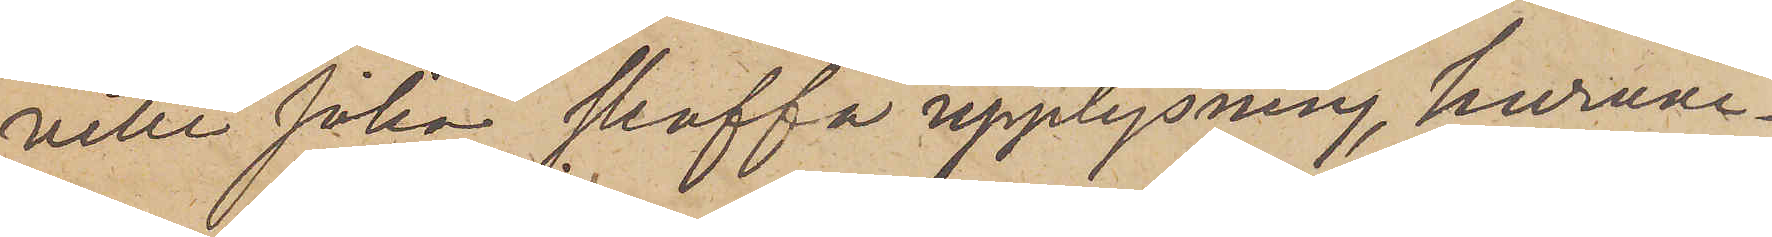ville söka skaffa upplysning, huruvi¬
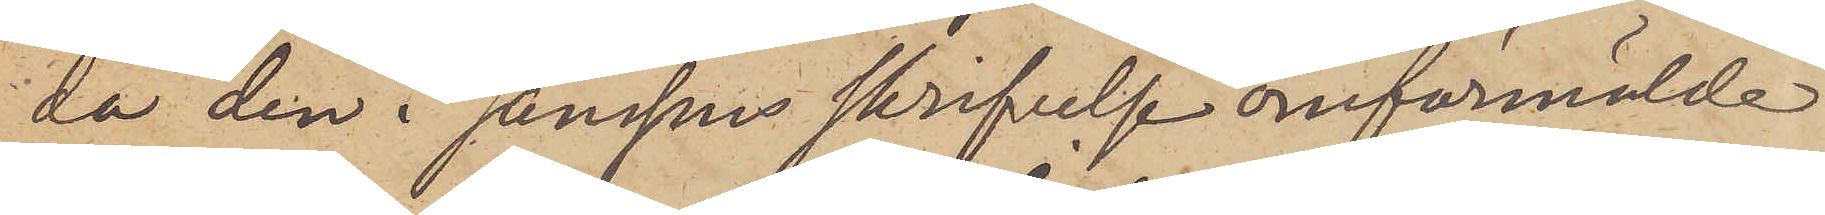da den i Janssons skrifvelse omförmälde
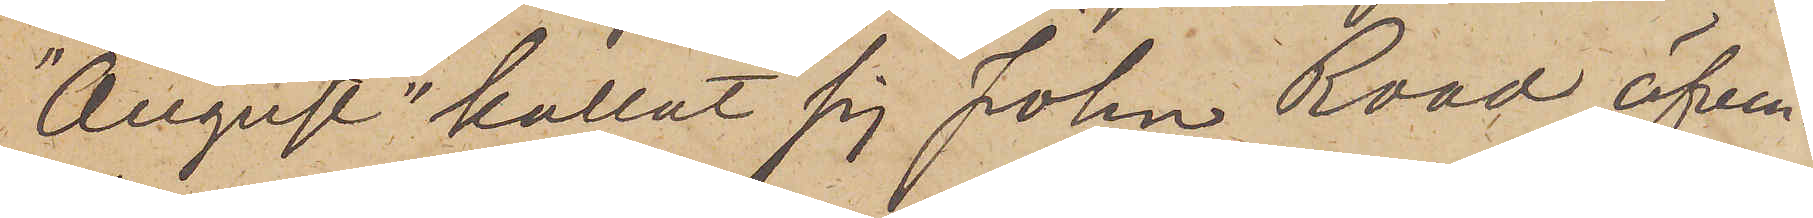"August" kallat sig John Road äfven¬
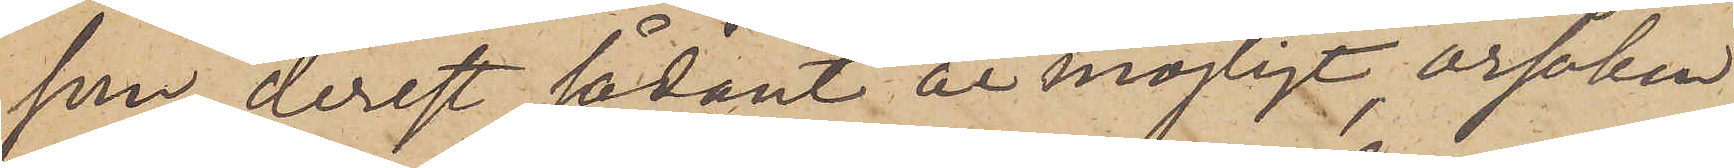som, derest sådant är möjligt, orsaken
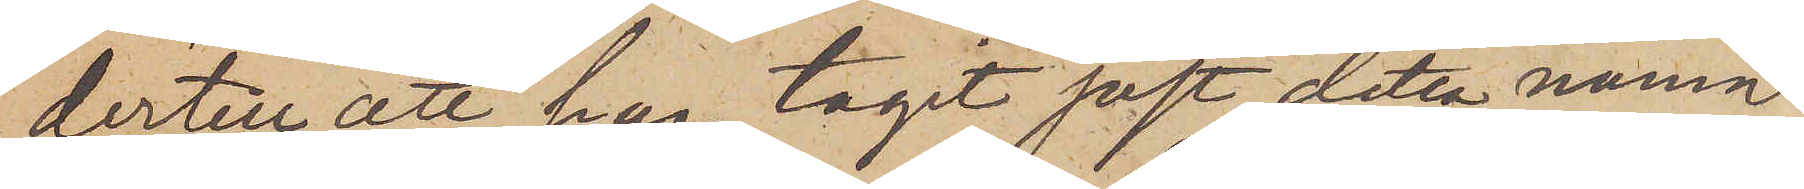dertill att han tagit just detta namn,
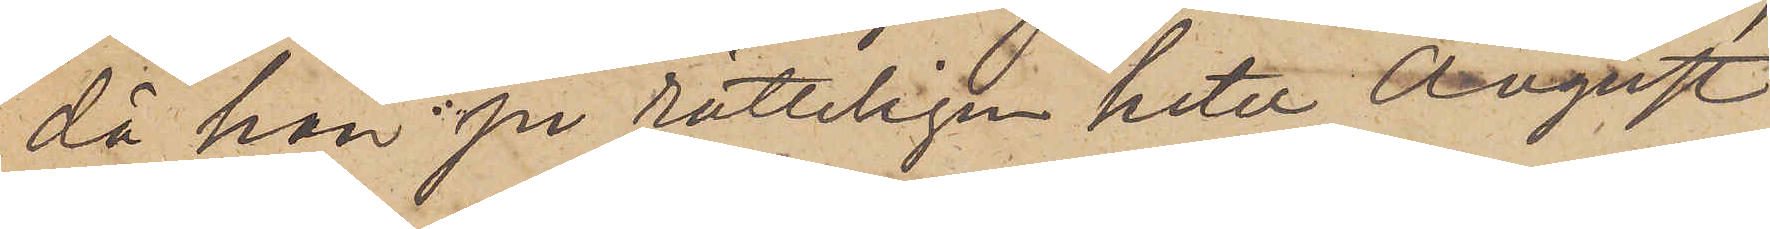då han på rätteligen heter August
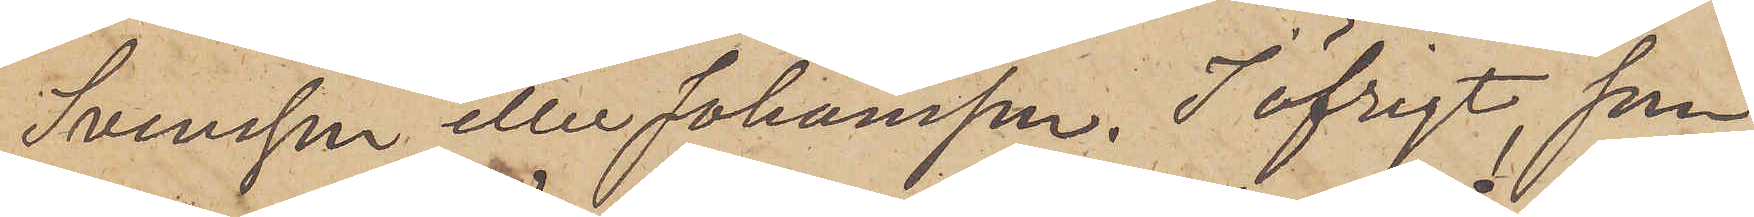Svensson eller Johansson. I öfrigt, som
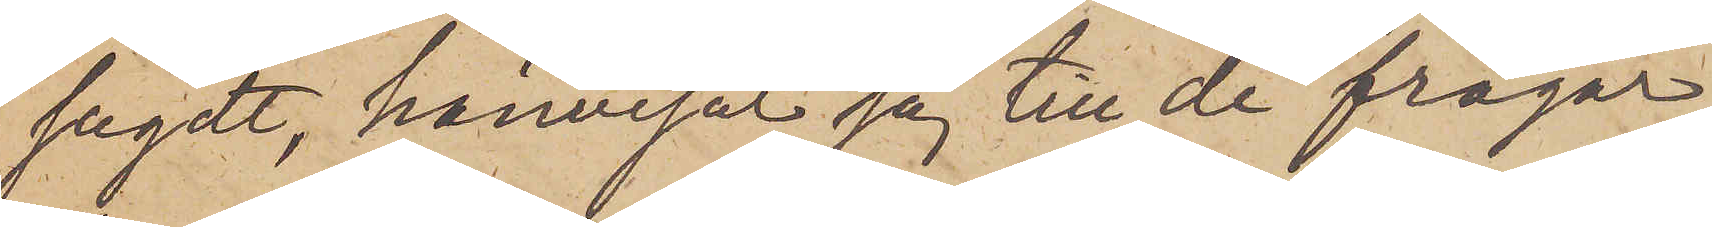sagdt, hänvisar jag till de frågor
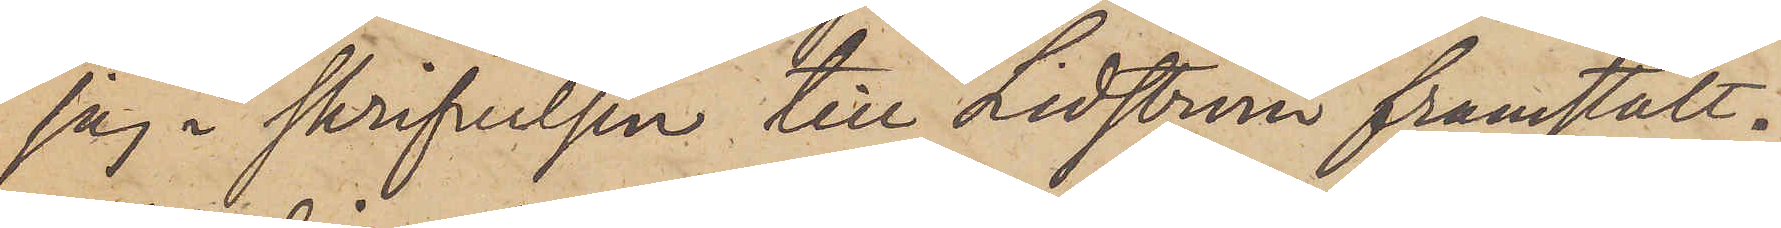jag i skrifvelsen till Lidström framstält.
